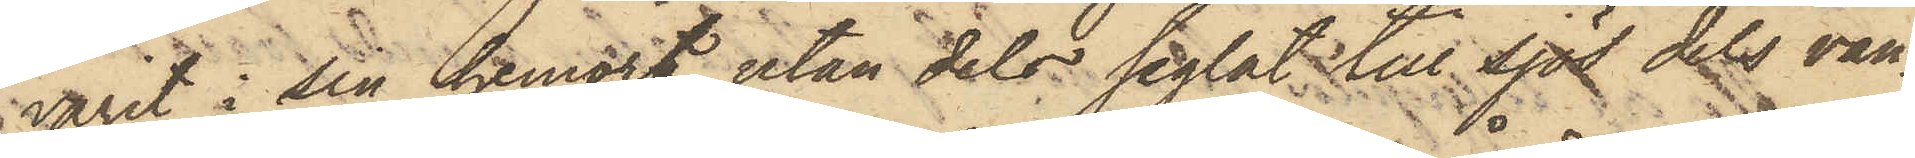varit i sin hemort, utan dels seglat till sjös dels van¬
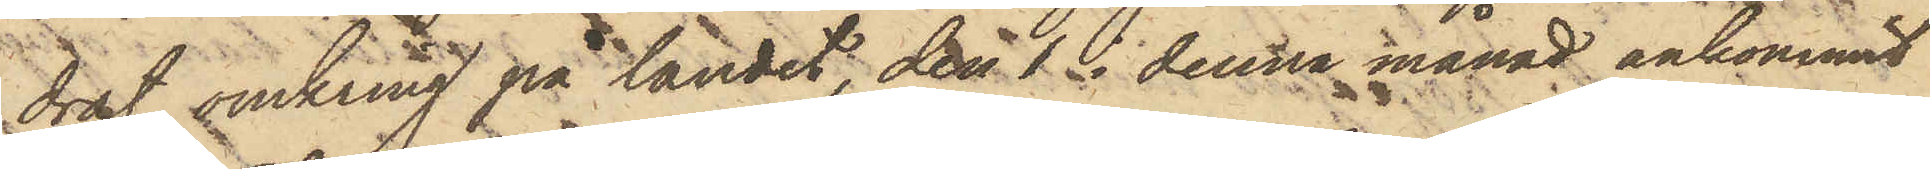drat omkring på landet, den 1 i denna månad ankommit
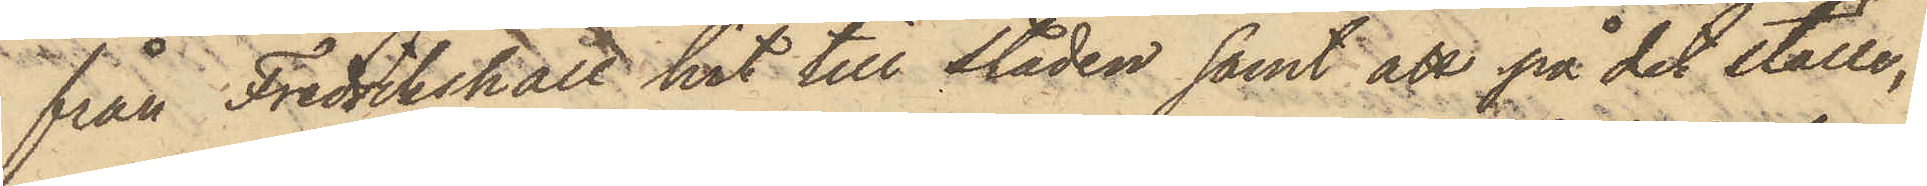från Fredrikshall hit till staden samt att på det ställe,
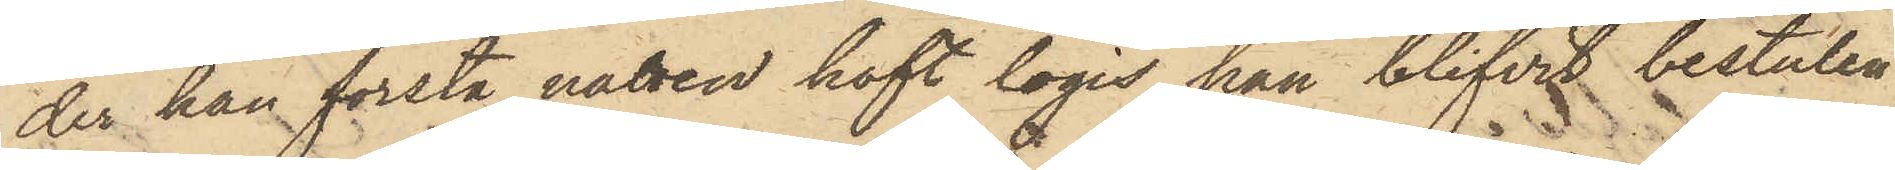der han första natten haft logis, han blifvit bestulen
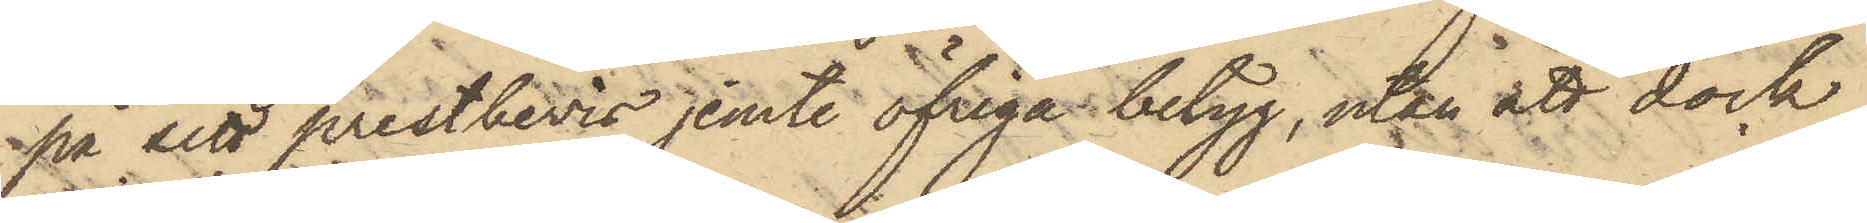på sitt prestbevis jemte öfriga betyg, utan att dock
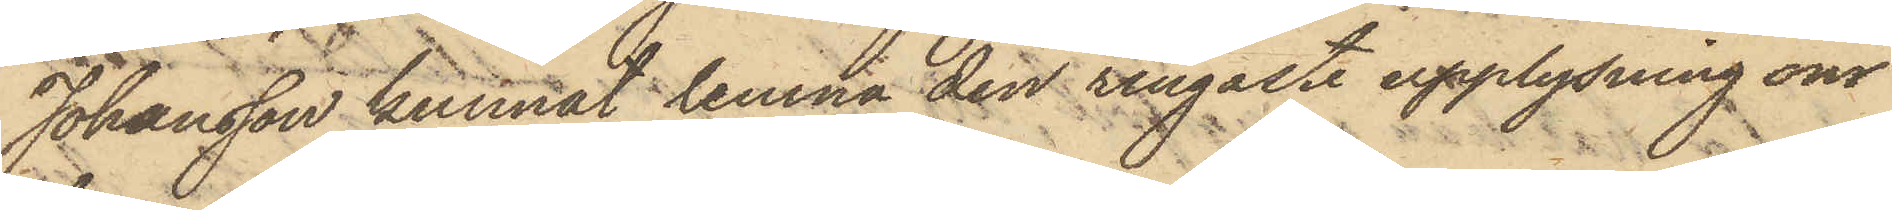Johansson kunnat lemna den ringaste upplysning om
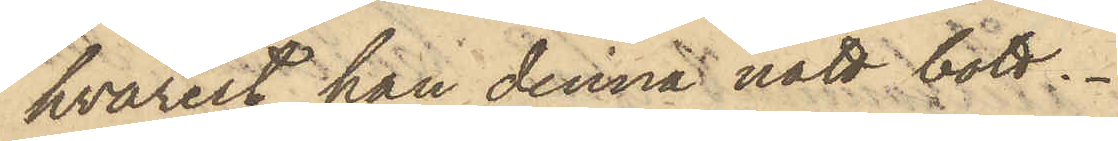hvarest han denna natt bott.
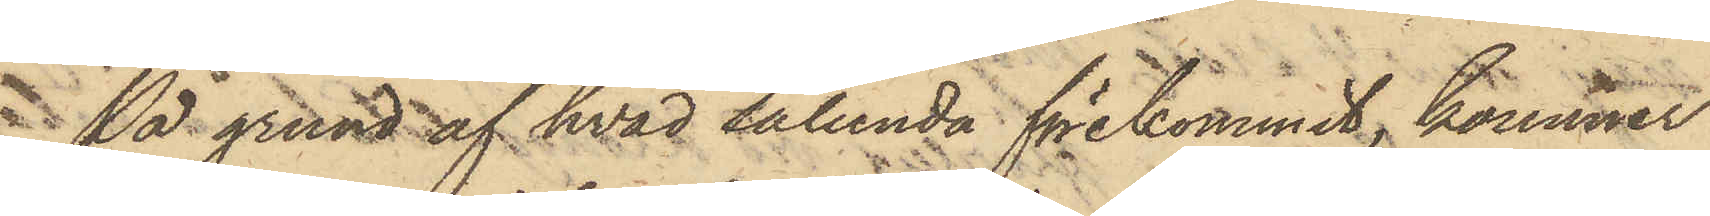På grund af hvad sålunda förekommit, kommer
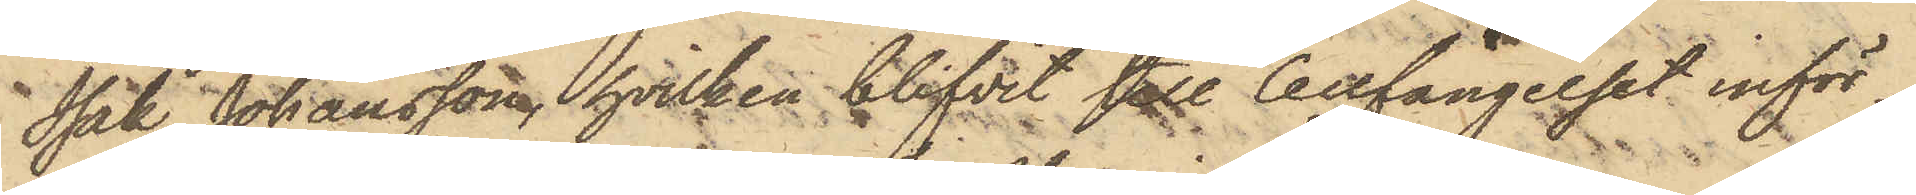Isak Johansson, hvilken blifvit till Cellfängelset inför¬
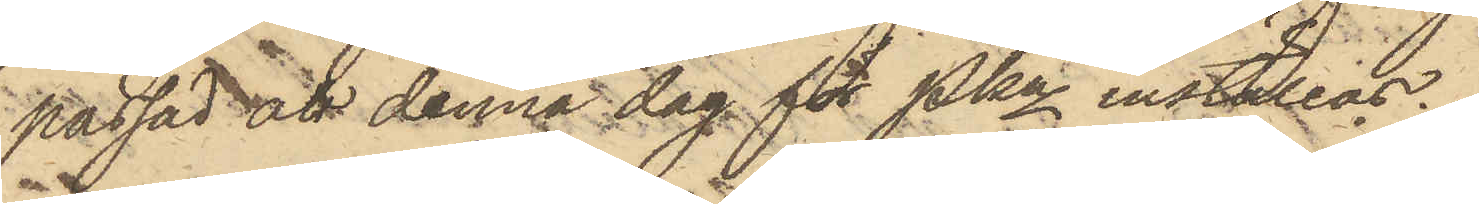passad att denna dag för Pkn inställas.
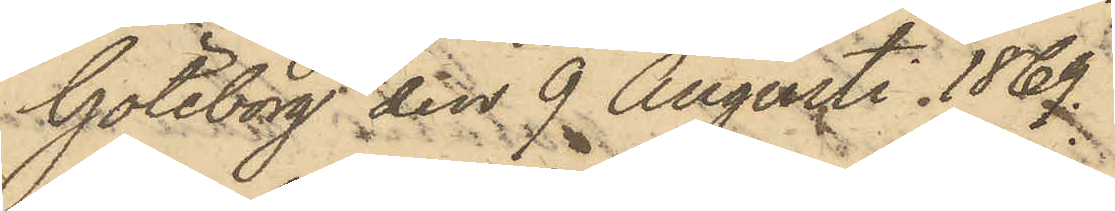Göteborg den 9 Augusti 1869.
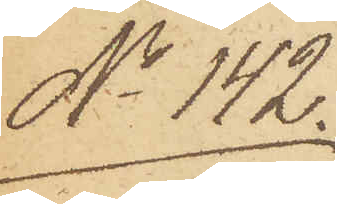No 142.
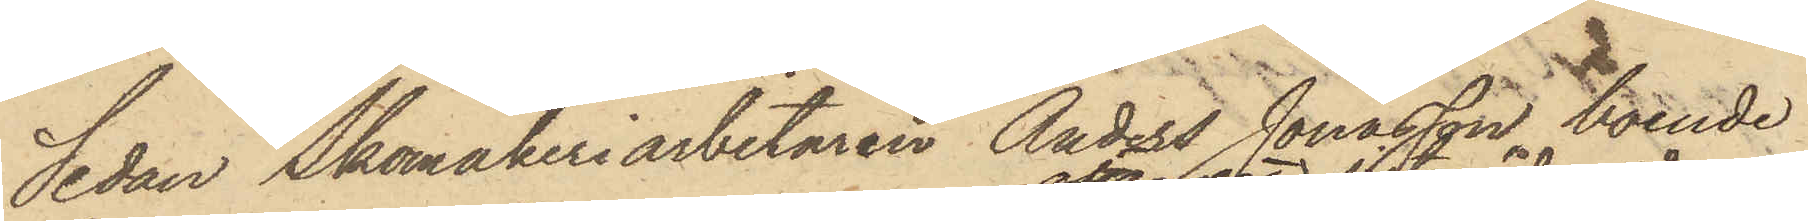Sedan Skomakeriarbetaren Anders Jonasson, boende
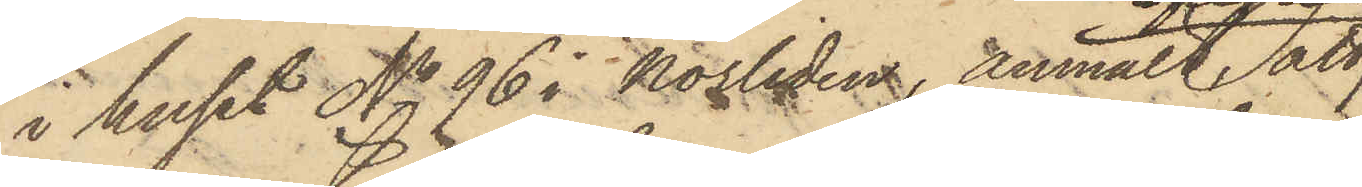i huset No 96 i Norliden, anmält att 
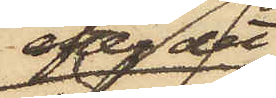efter det
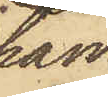han
